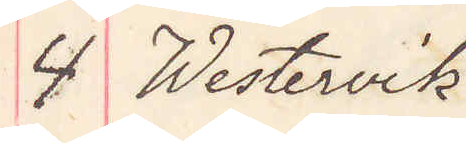4 Westervik
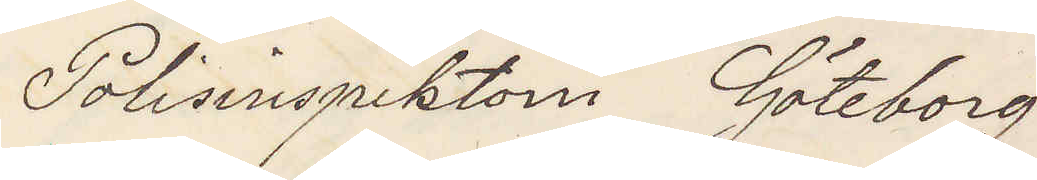Polisinspektorn Göteborg
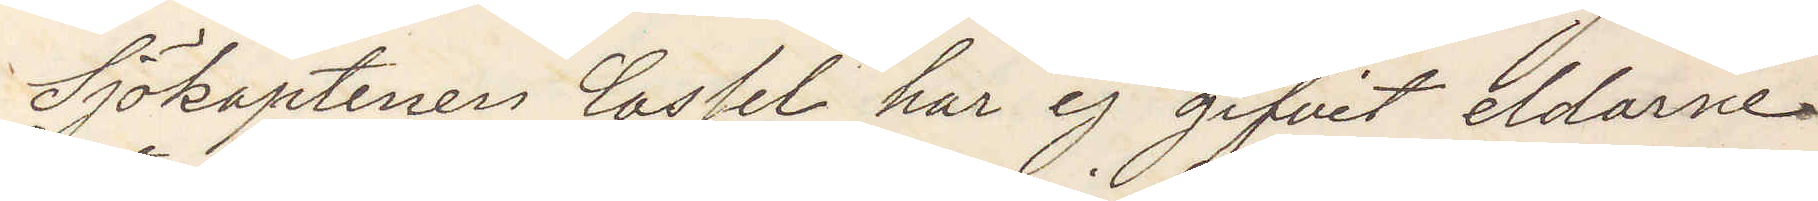Sjökaptenen Cassel har ej gifvit eldarne
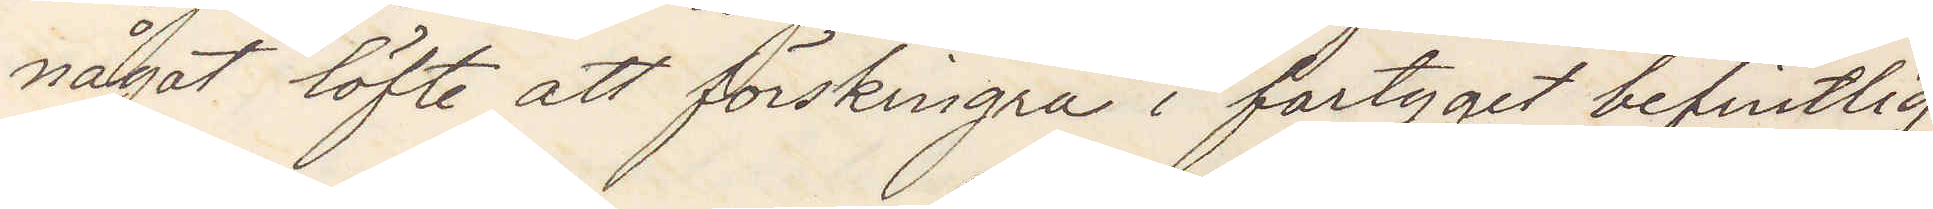något löfte att förskingra i fartyget befintlig
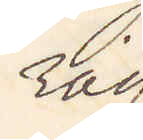råg
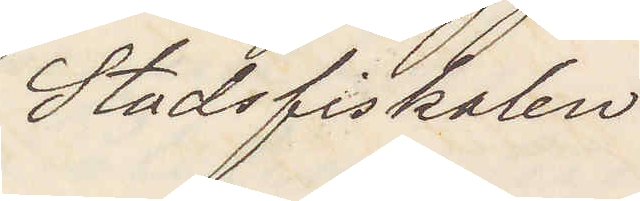Stadsfiskalen
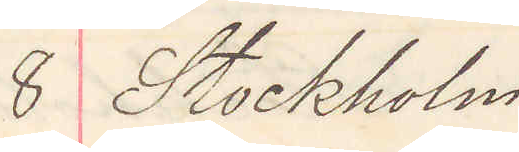8 Stockholm
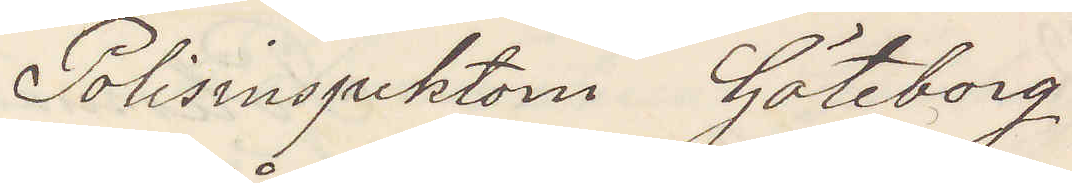Polisinspektorn Göteborg
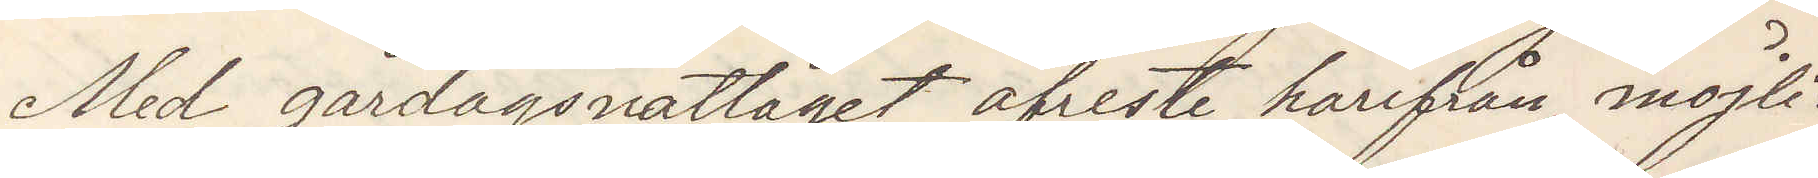Med gårdagsnattåget afreste härifrån möjli¬
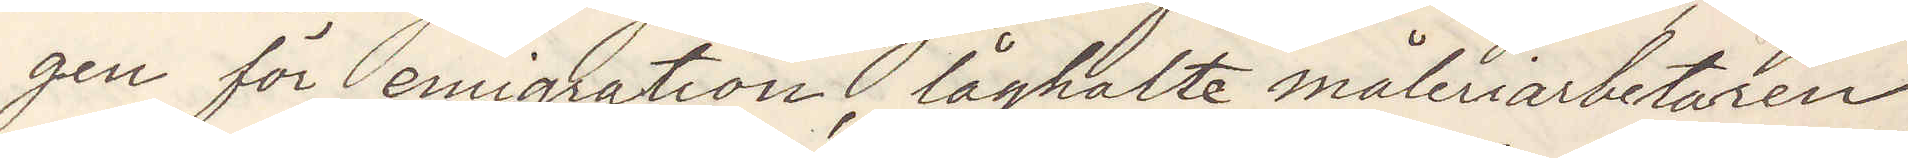gen för emigration, låghalte måleriarbetaren
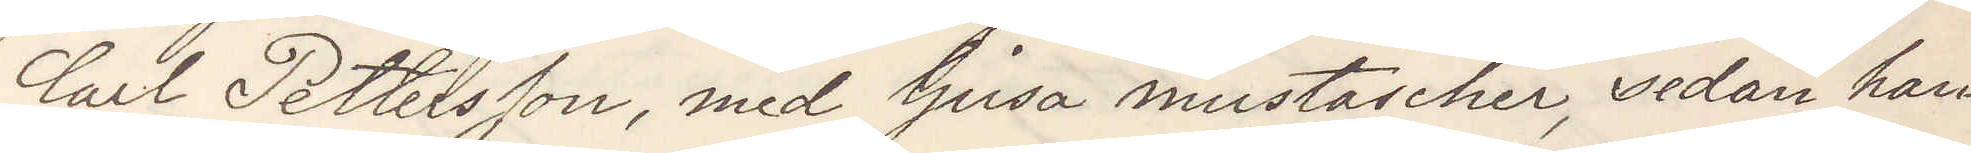Carl Pettersson, med ljusa mustascher, sedan han
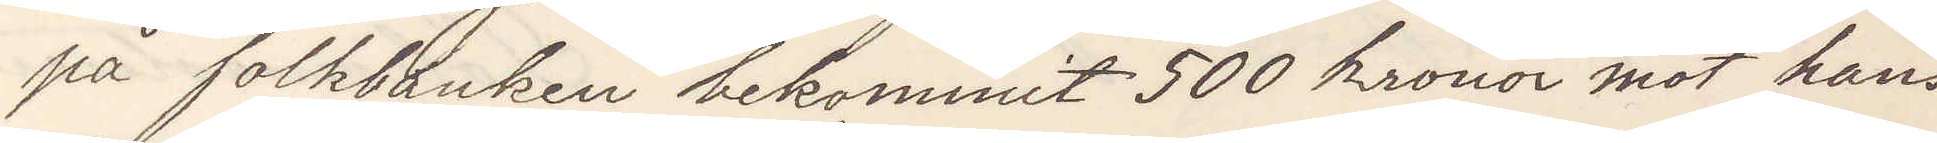på folkbanken bekommit 500 kronor mot hans
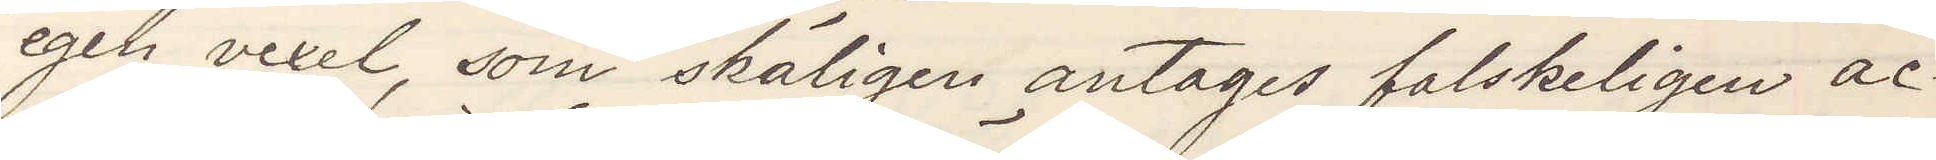egen vexel, som skäligen antages falskeligen ac¬
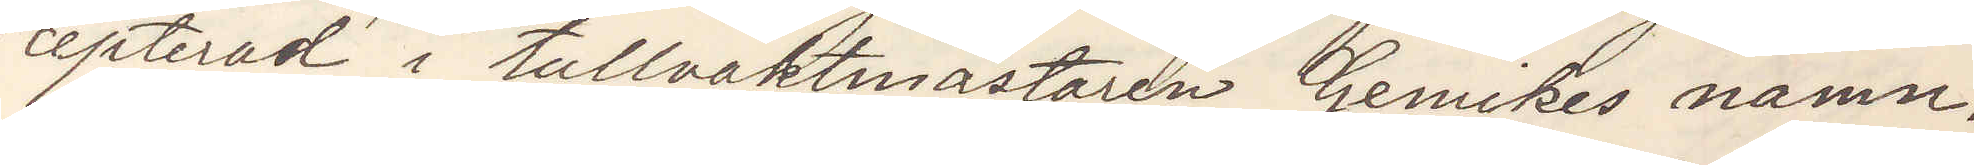cepterad i tullvaktmästaren Gemikes namn.
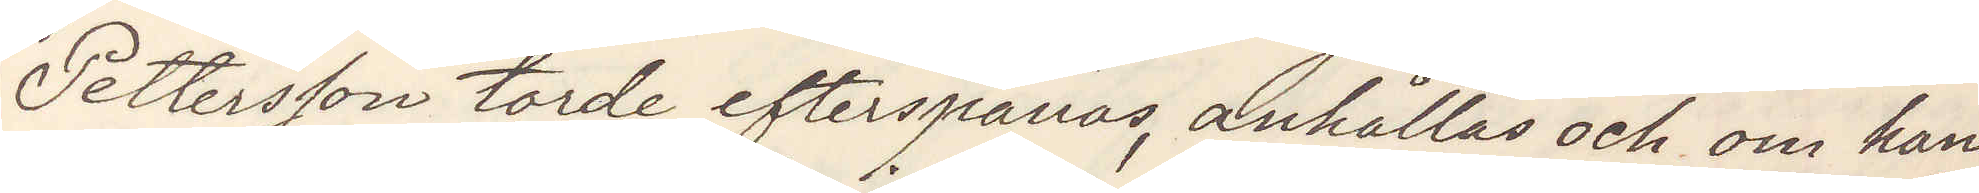Pettersson torde efterspanas, anhållas och om han
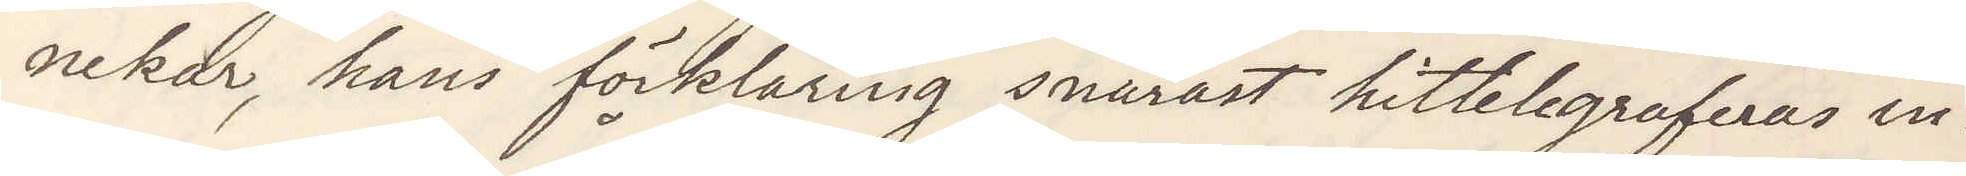nekar hans förklaring, snarast hittelegraferas in¬
